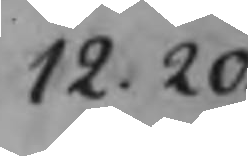12.20
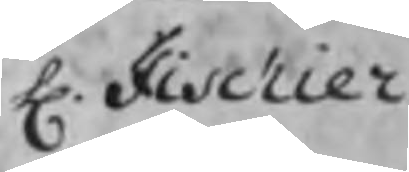H. Fischier
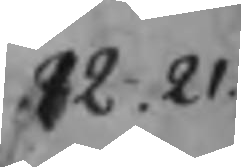12.21
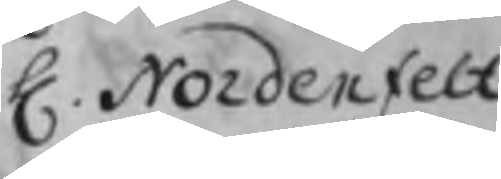H. Nordenfelt
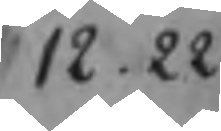12.22
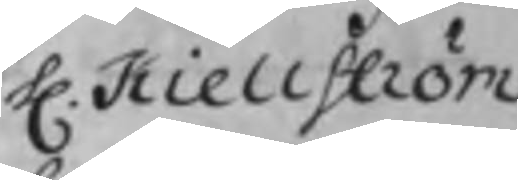H. Kiellström
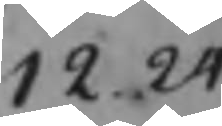12.24
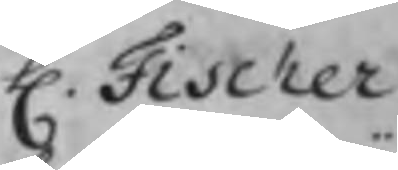H. Fischer
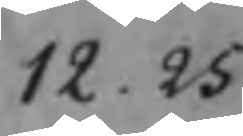12.25
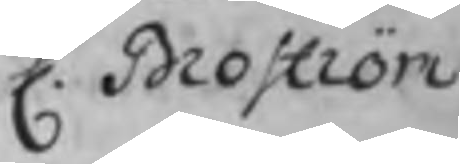H. Broström
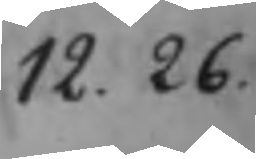12.26
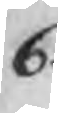6.
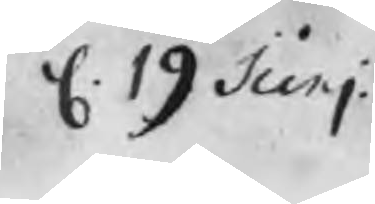d. 19 Junj
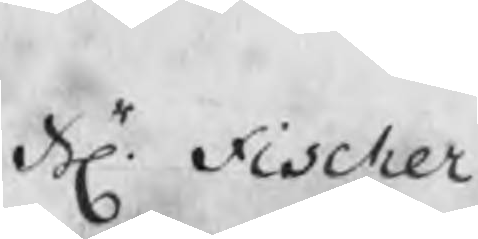Hr. Fischer
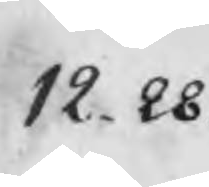12.28.
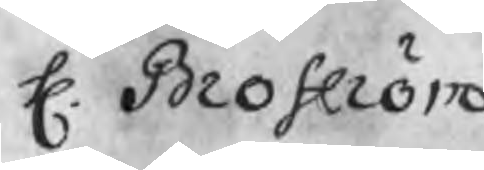H. Broström
